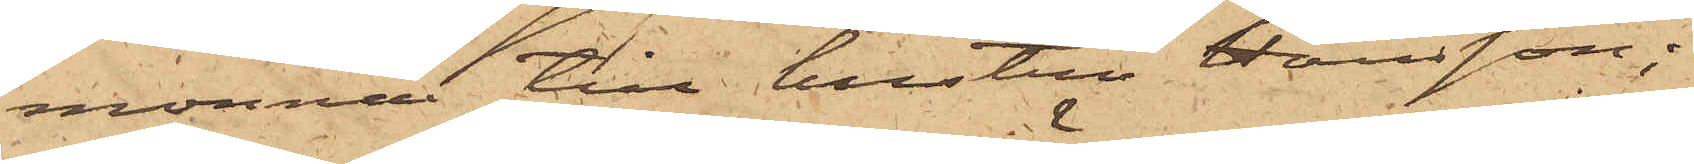monnai till hustru Hansson;
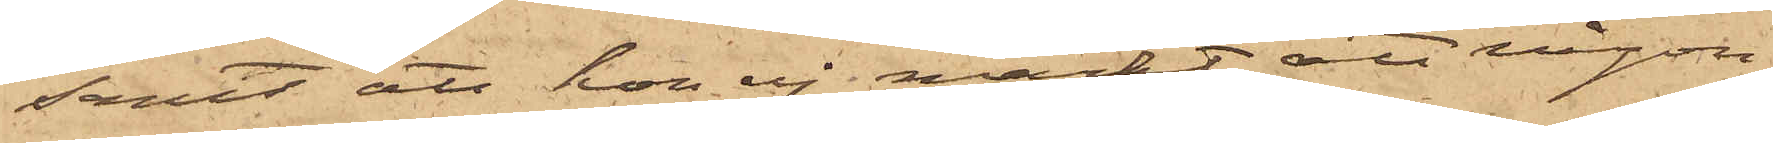samt att hon ej märkt, att någon
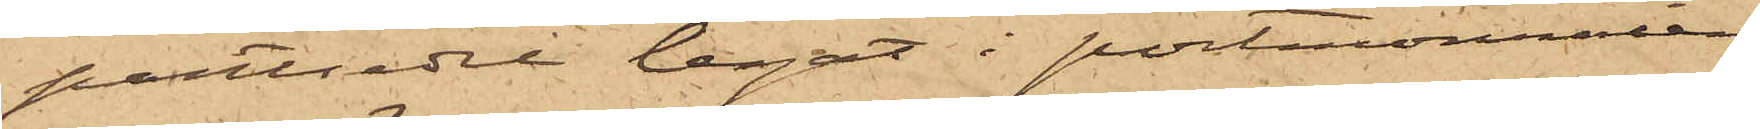pantsedel legat i portmonnaien
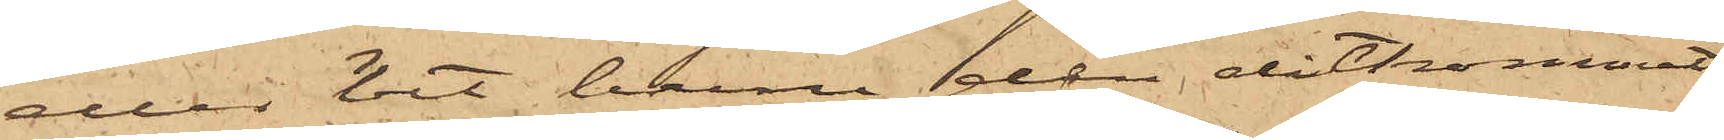eller hvet huru den ditkommit,
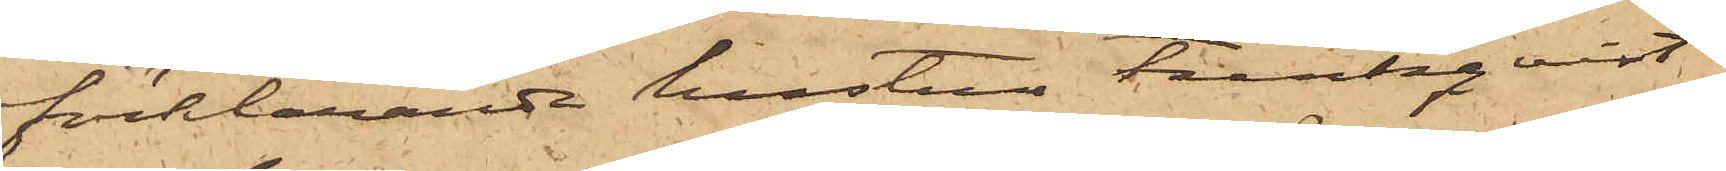förklarande hustrun Funkqvist,
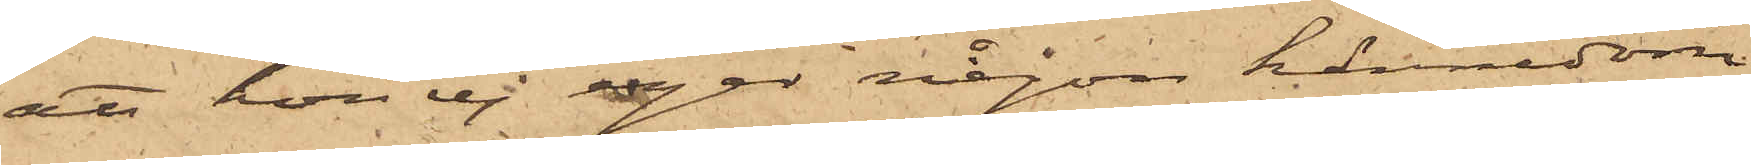att hon ej eger någon kännedom
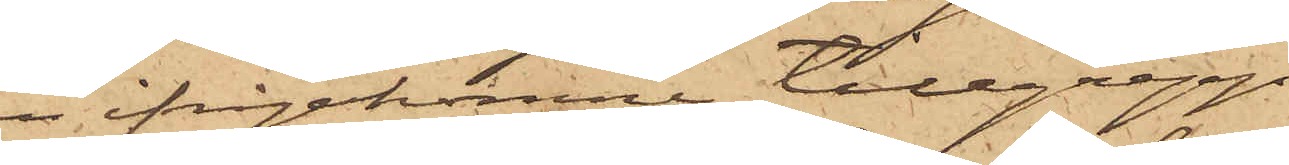om ifrågakomne tillgrepp.
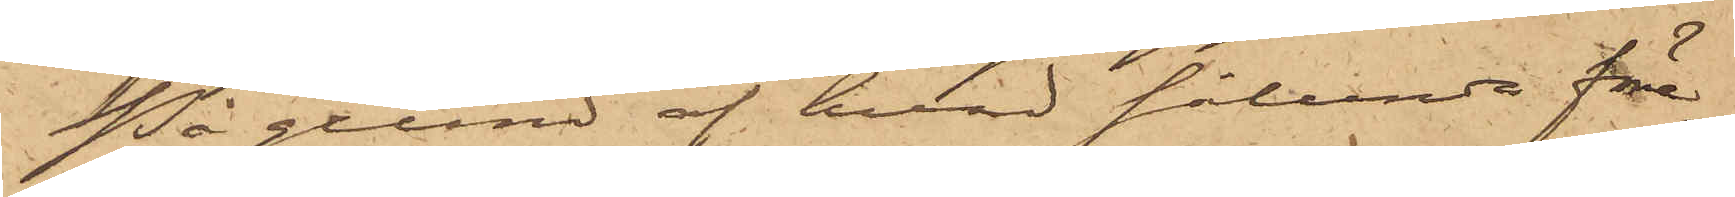På grund af hvad sålunda före¬
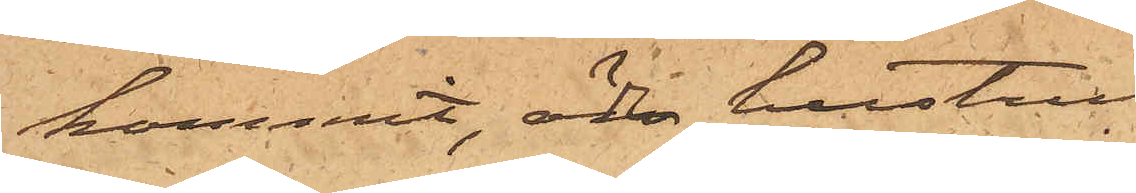kommit, är hustru
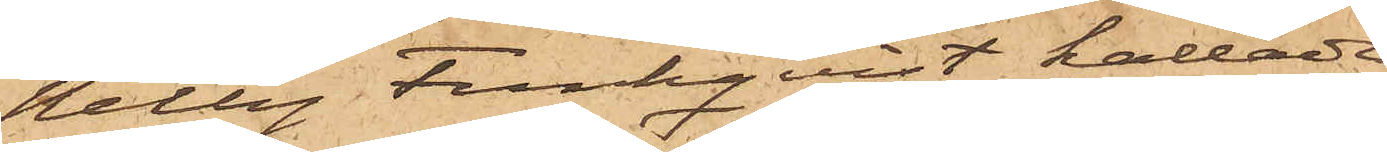Nelly Funkqvist kallad
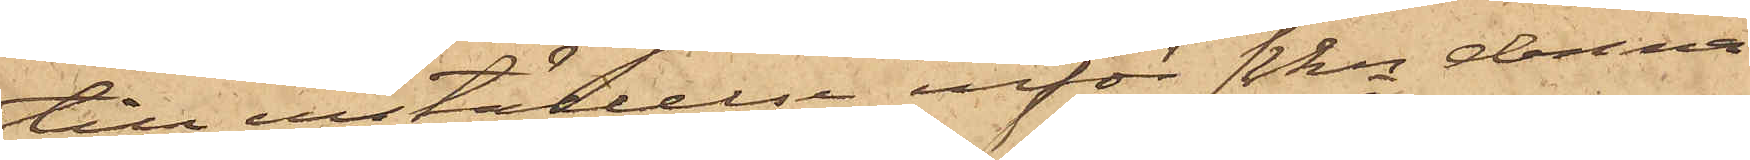till inställelse inför Pkn denna
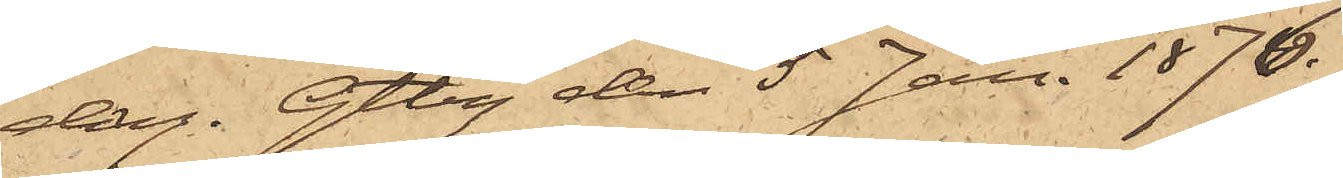dag. Gtbg den 5 Jan. 1876.
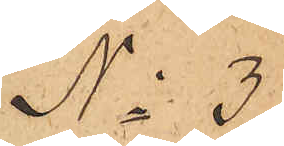No 3.
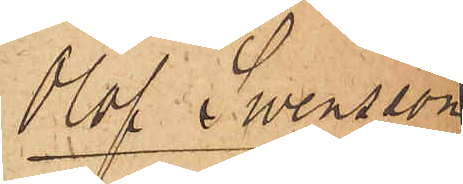Olof Swensson
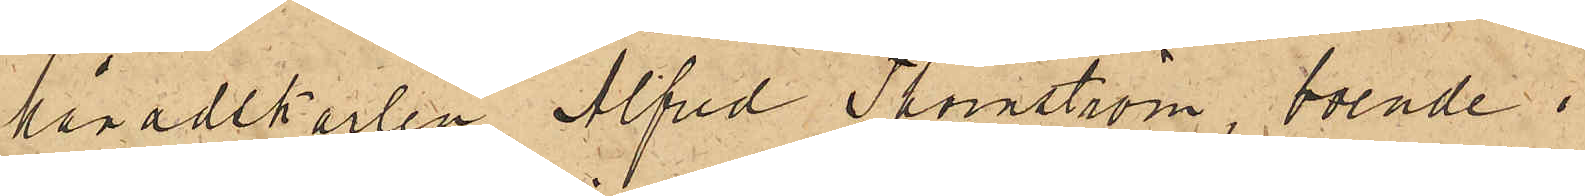Månadskarlen Alfred Thornström, boende i
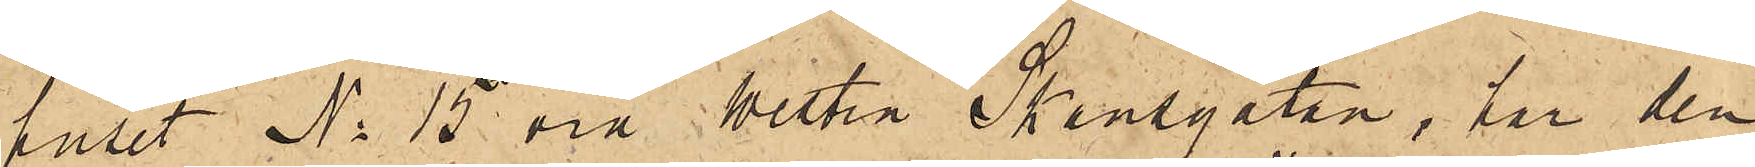huset No 15 vid Westra Skansgatan, har den
